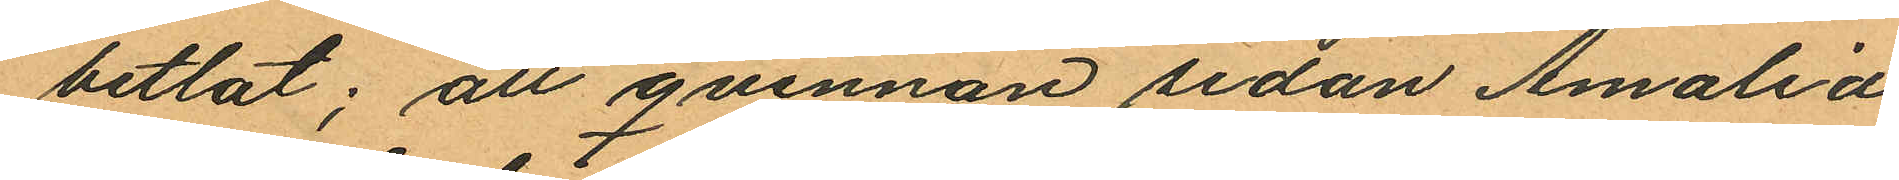betlat; att qvinnan sedan Amalia
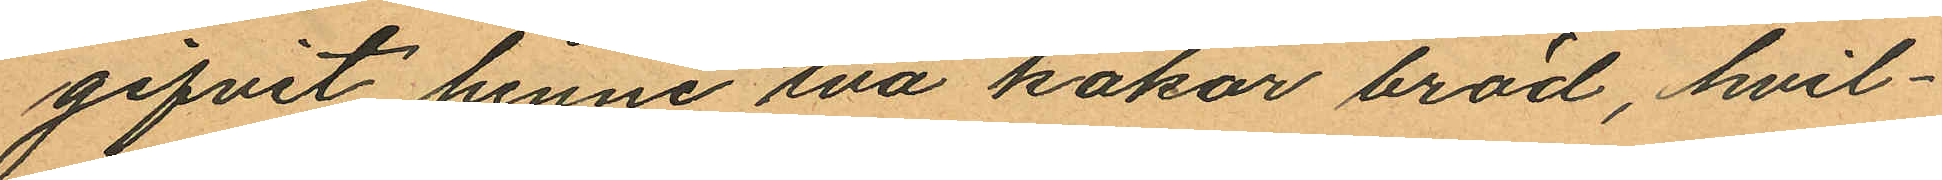gifvit henne två kakor bröd, hvil¬
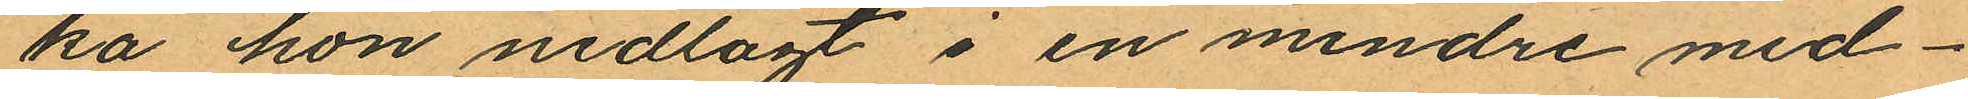ka hon nedlagt i en mindre med¬
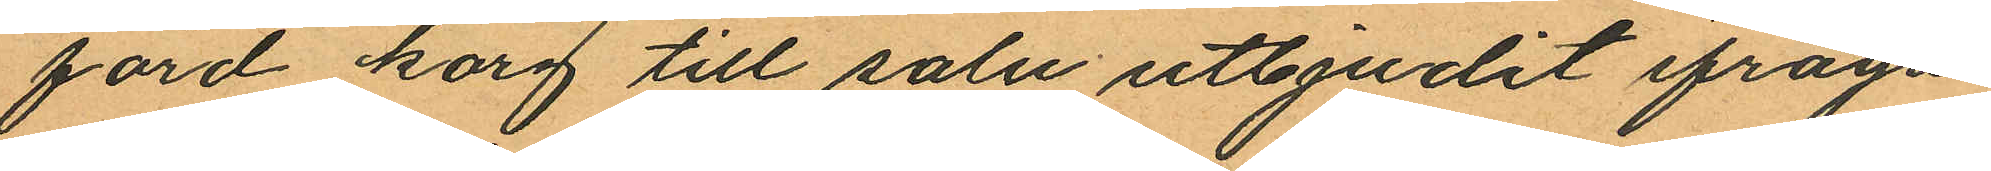förd korg till salu utbjudit ifråga
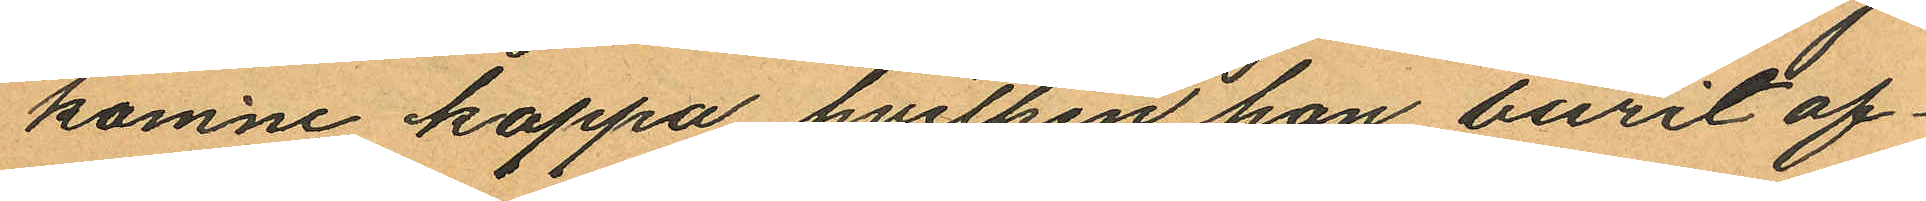komne kappa hvilken hon burit of¬
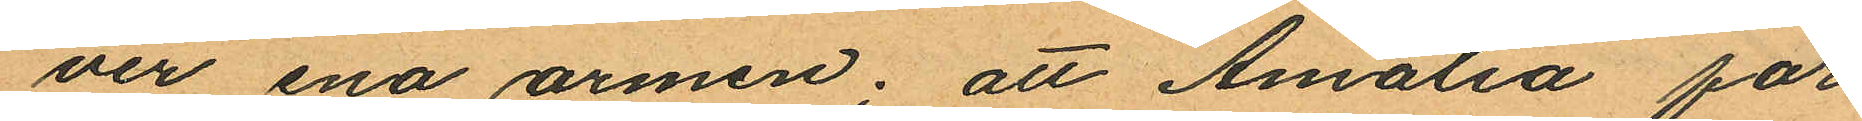ver ena armen; att Amalia för
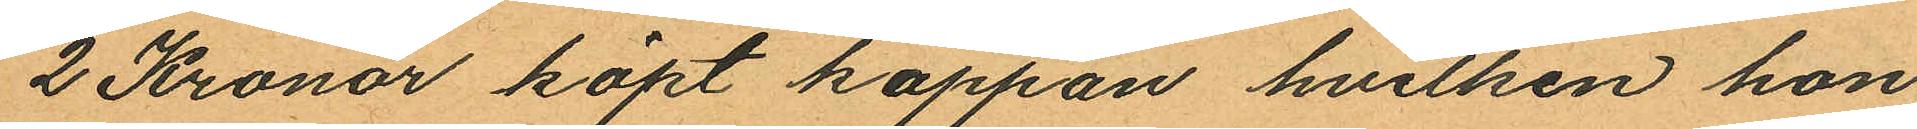2 Kronor köpt kappan hvilken hon
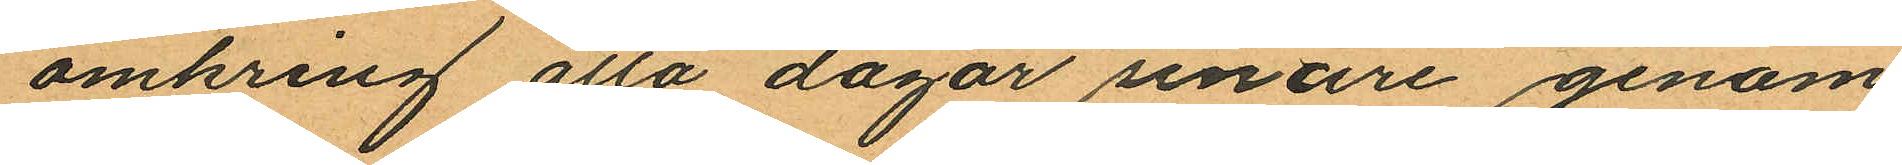omkring åtta dagar senare genom
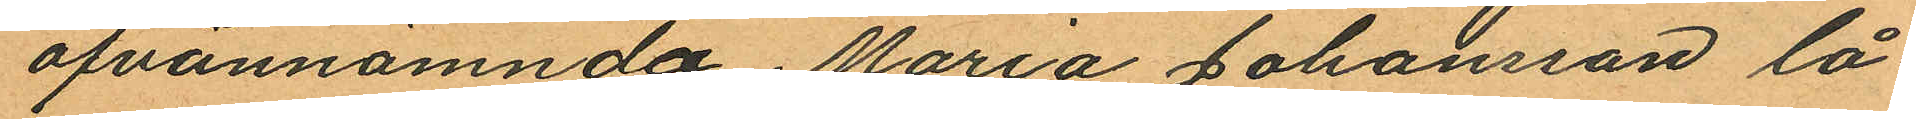ofvannämnda Maria Johansson lå¬
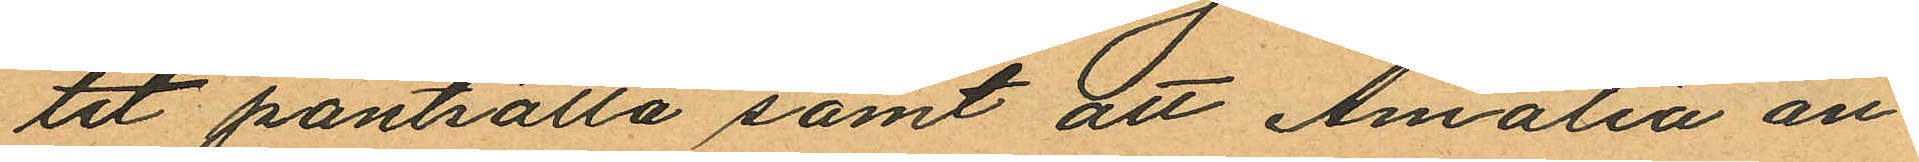tit pantsätta samt att Amalia an¬
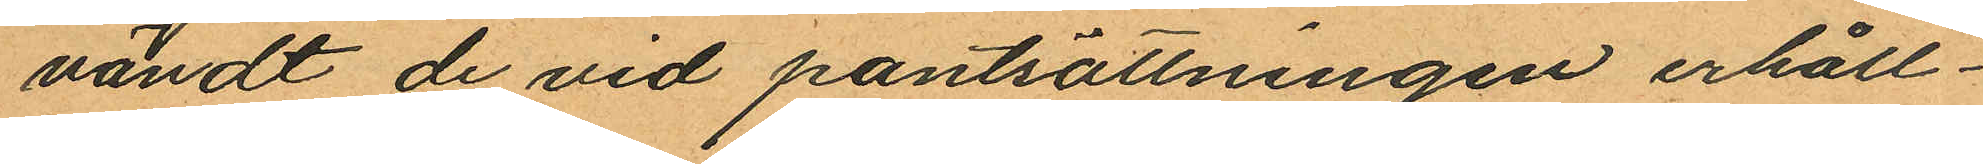vändt de vid pantsättningen erhåll¬
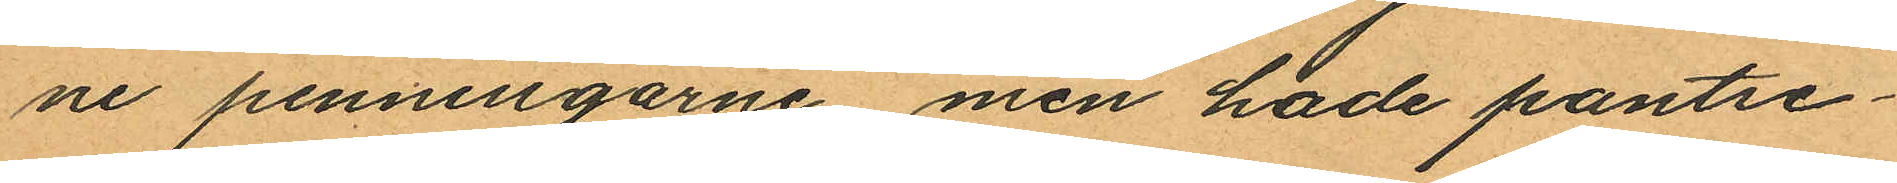ne penningarne men hade pantse¬
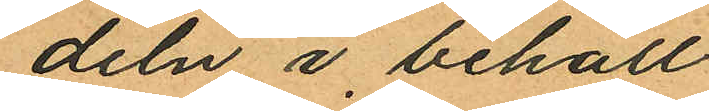deln i behåll.
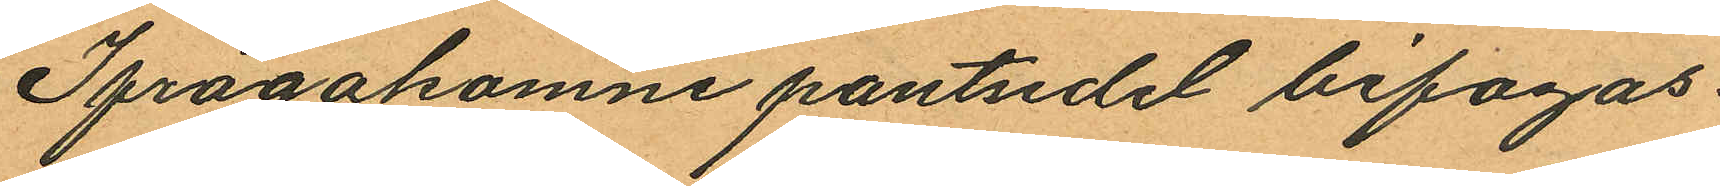Ifrågakomne pantsedel bifogas.
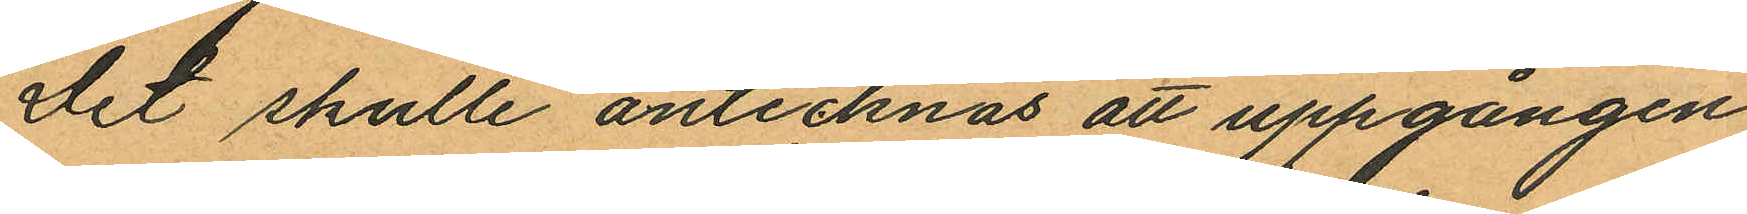Det skulle antecknas att uppgången
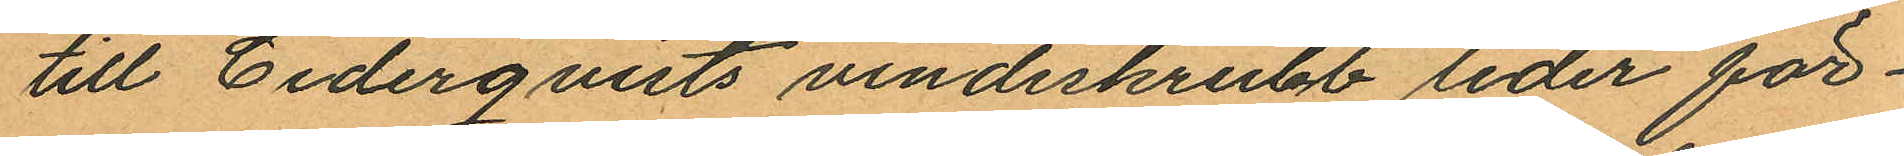till Cederqvists vindeskrubb leder för¬
